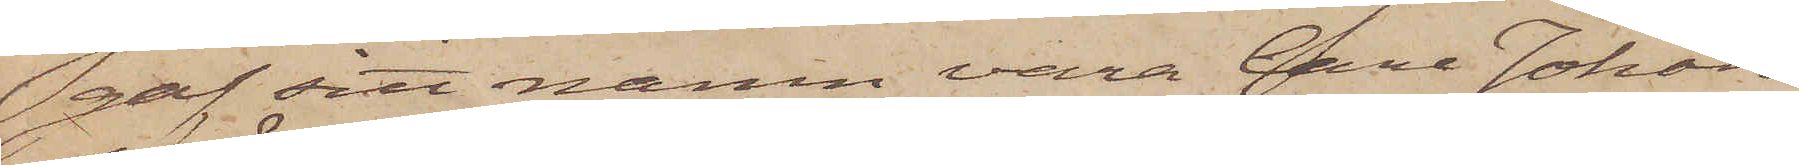gaf sitt namn vara Carl Johan
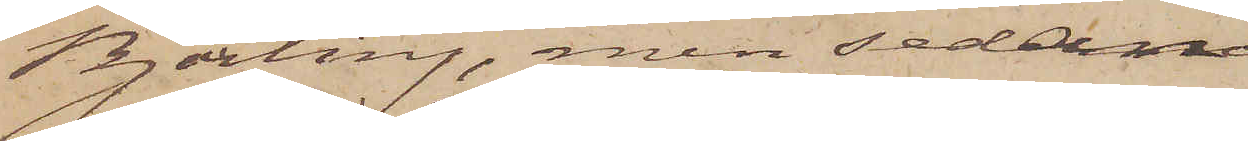Björling, men sedan
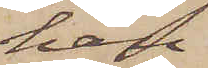han
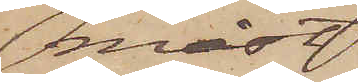måst
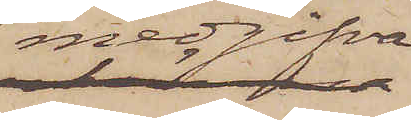medgifva
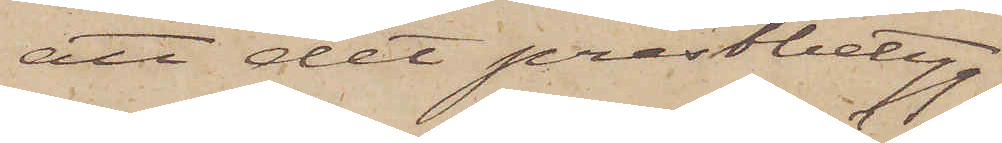att det prestbetyg
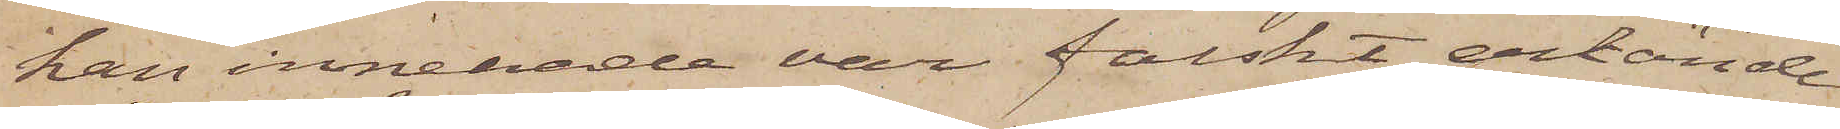han innehade var falskt, erkände
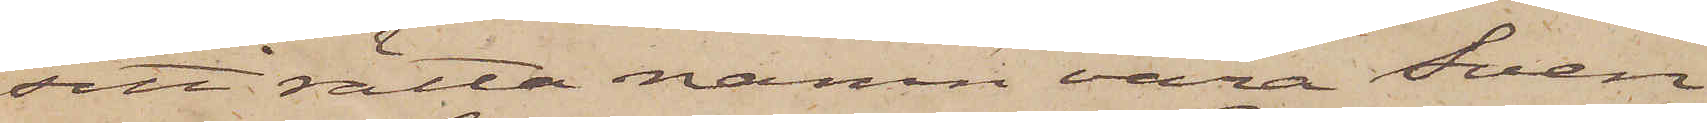sitt rätta namn vara Sven
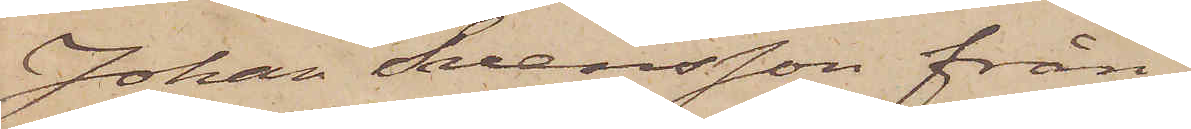Johan Svensson från
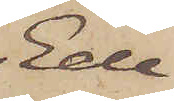Ede¬
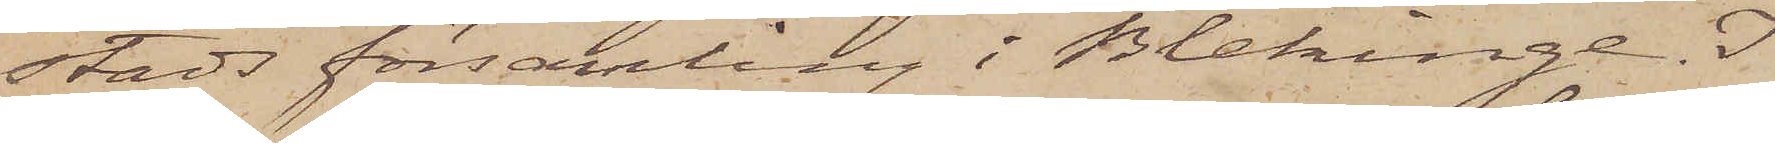stads församling i Blekinge. I
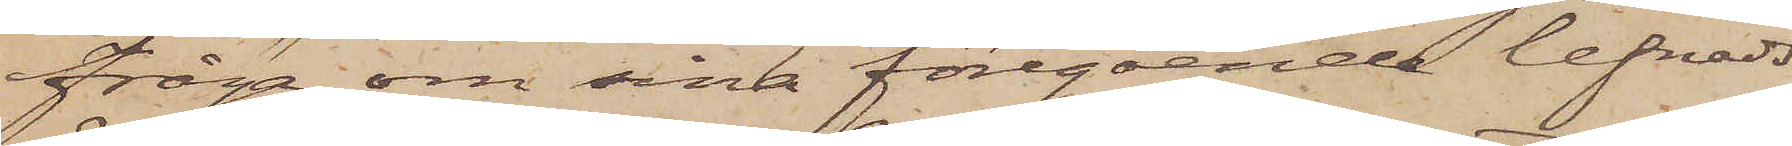fråga om sina föregående lefnads¬
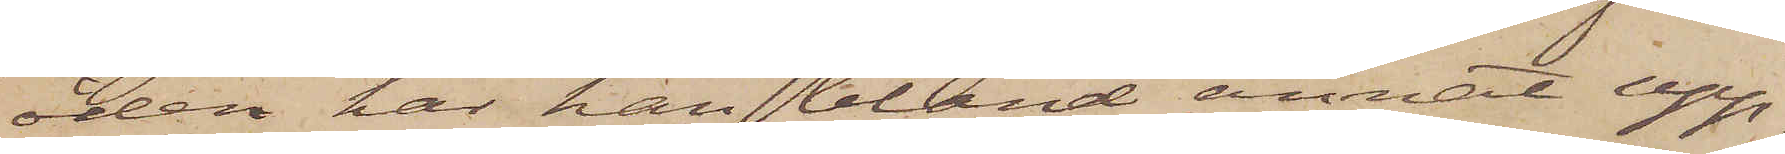öden har han bland annat upp¬
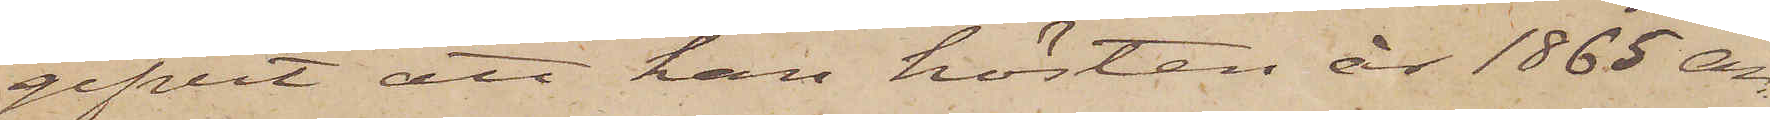gifvit att han hösten år 1865 an¬
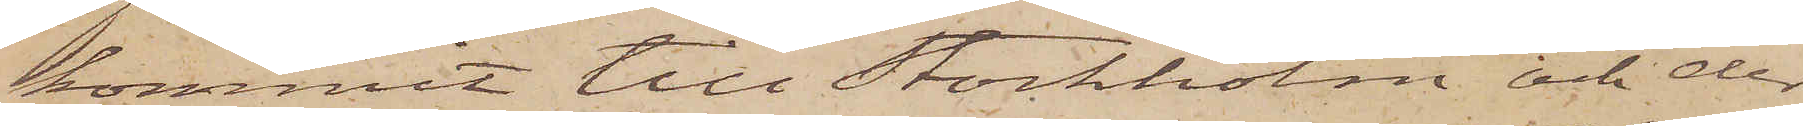kommit till Stockholm och der
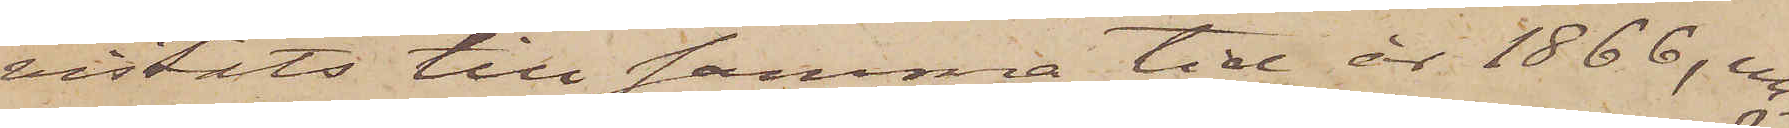vistats till samma tid år 1866, un¬
